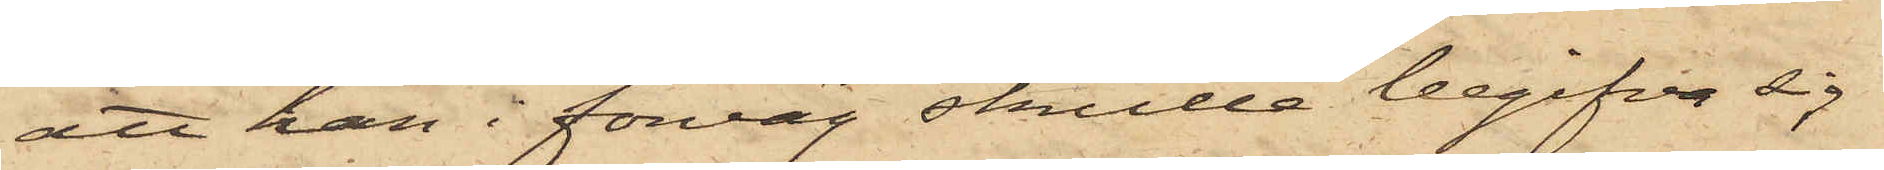att han i förväg skulle begifva sig
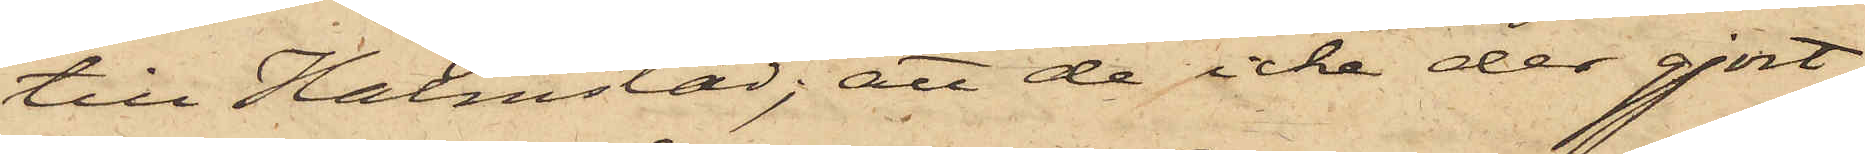till Halmstad; att de icke der gjort
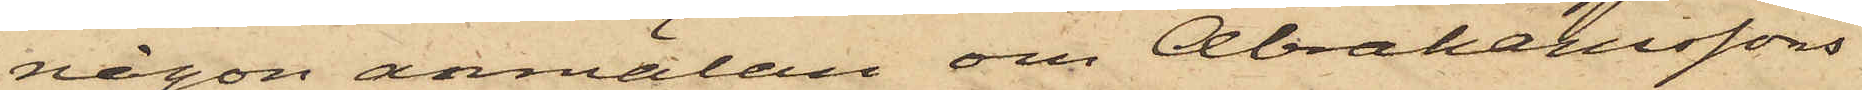någon anmälan om Abrahamssons
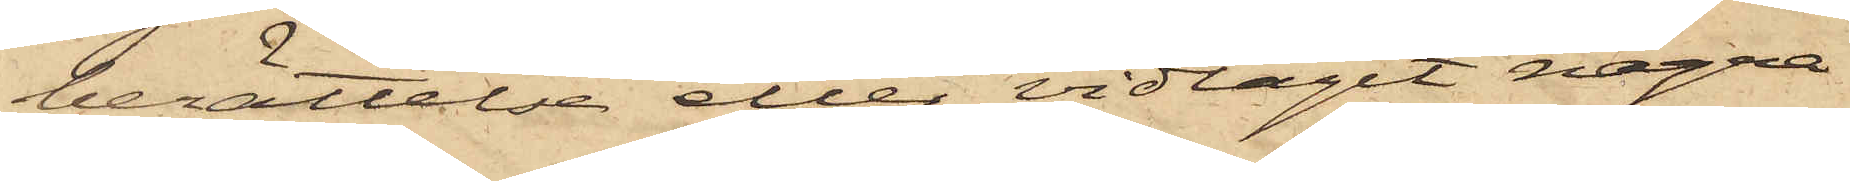berättelse eller vidtagit några
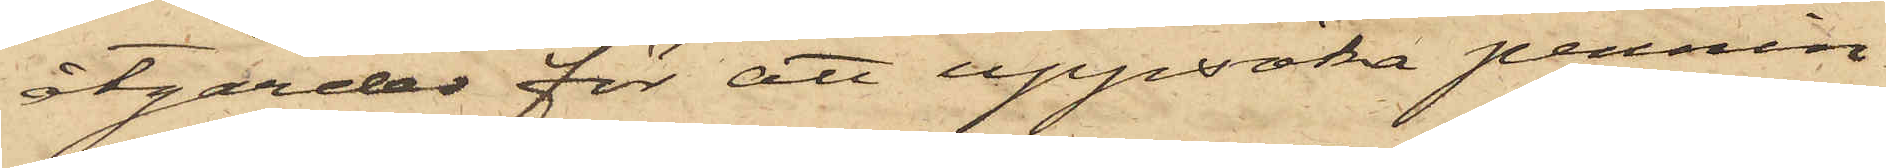åtgärder för att uppsöka pennin¬
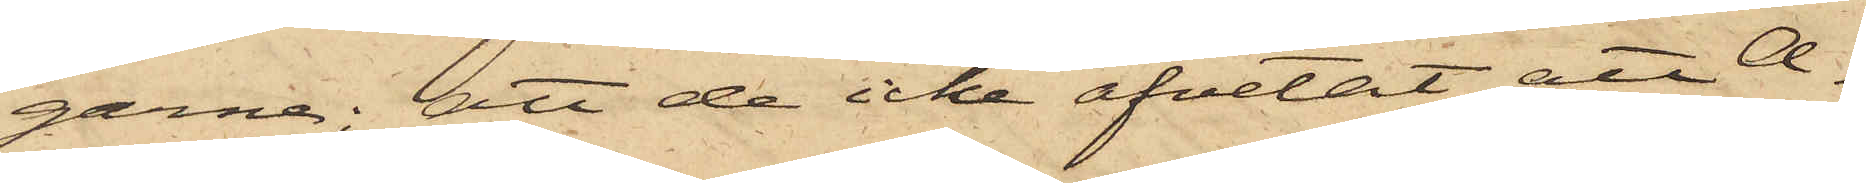garne; att de icke afvetat att A¬
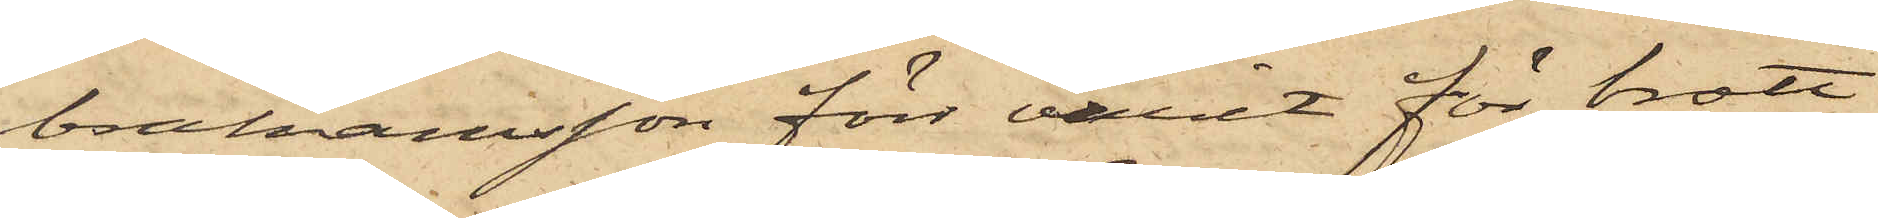brahamsson förr varit för brott
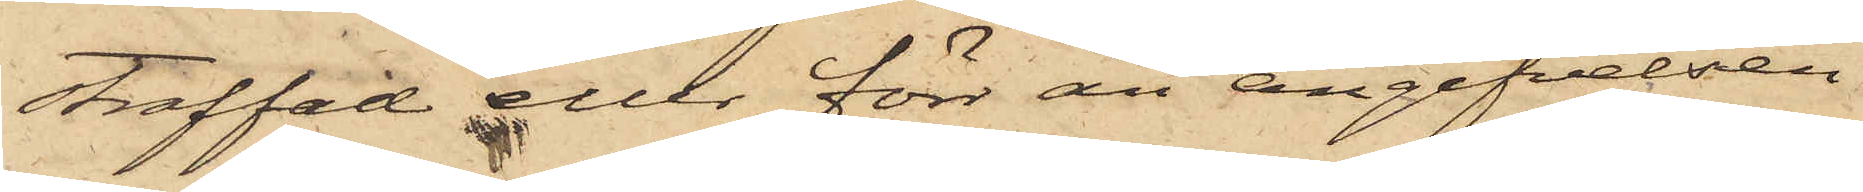straffad eller förr än angifvelsen
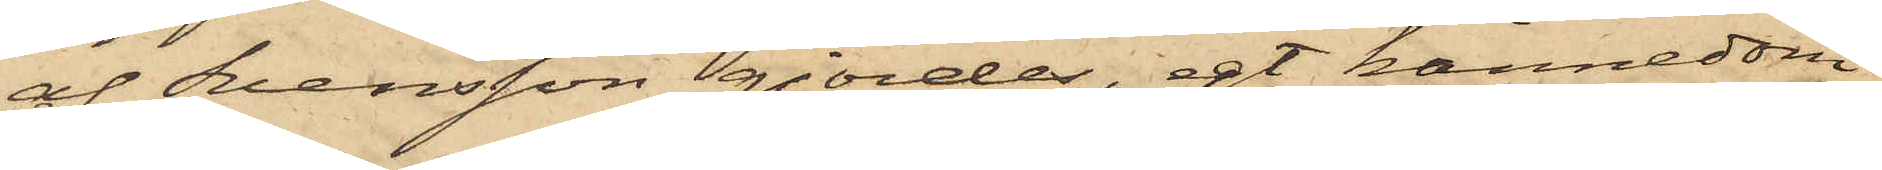af Svensson gjordes, egt kännedom
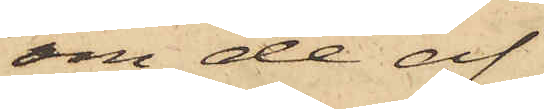om de af
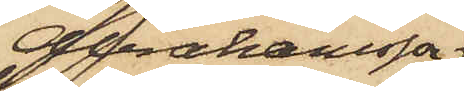Abrahamsson
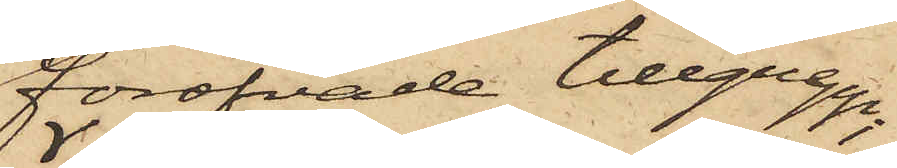föröfvade tillgrepp;
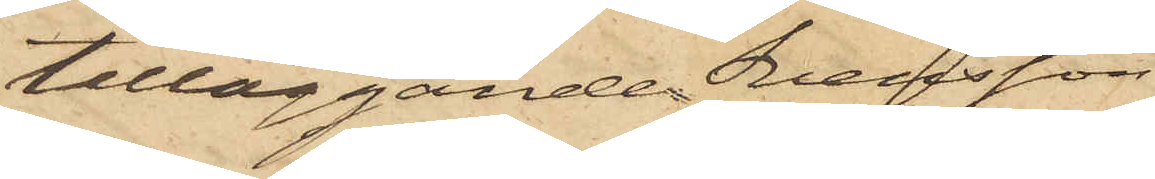tilläggande Svensson
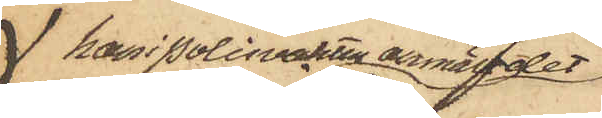 han i Polisvakten anmält det
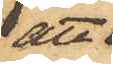att
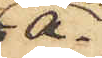A¬
